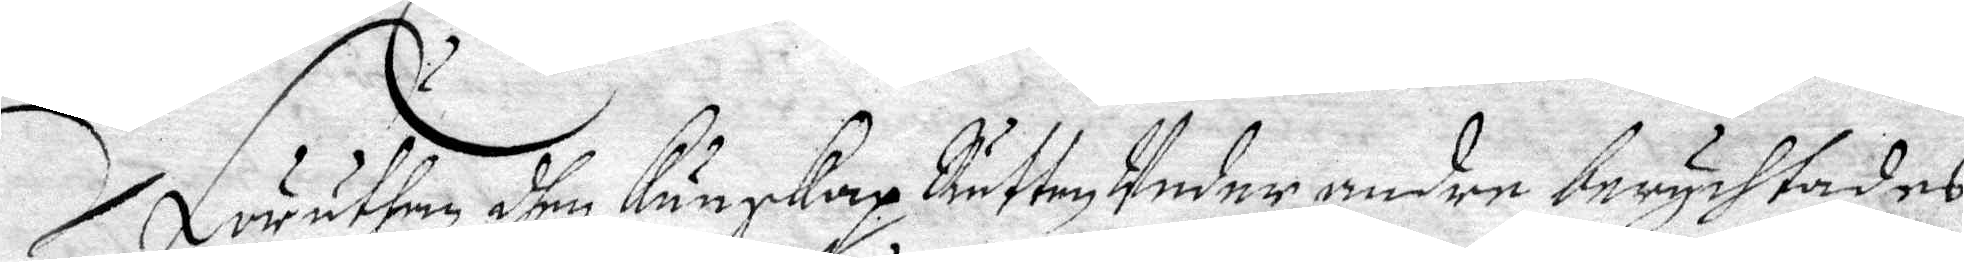Förutan dhen kunskap Rätten Under andre berychtades
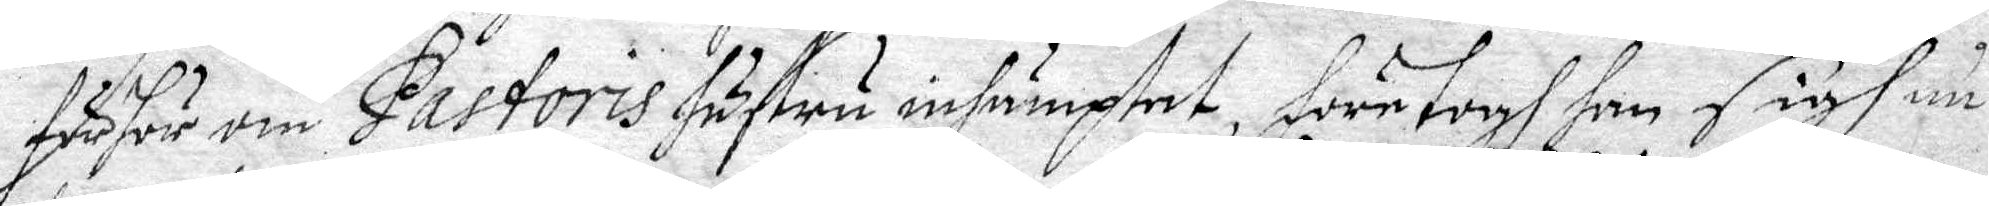förhör om Pastoris hustru inhäptat, företogh han sigh in¬
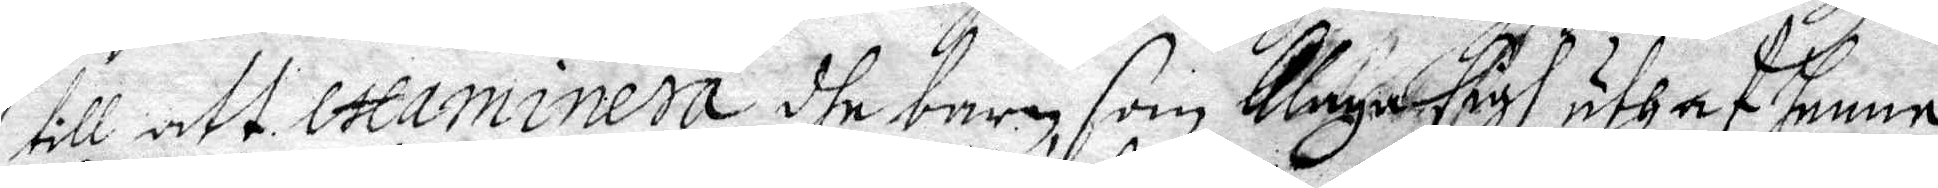till att examinera dhe barn, som klaga sigh uthaf henne
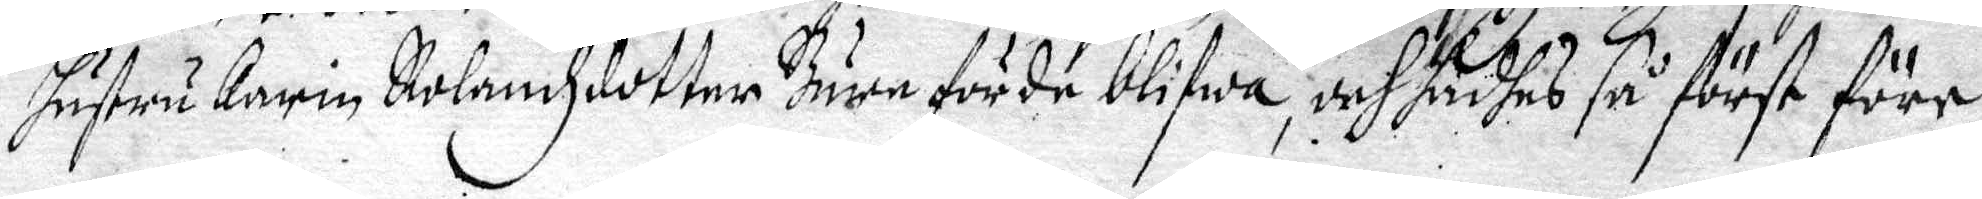hustru Karin Rolandzdotter Bure förde blifwa, och sadhes så först före
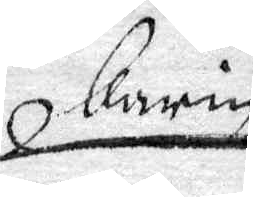Karin
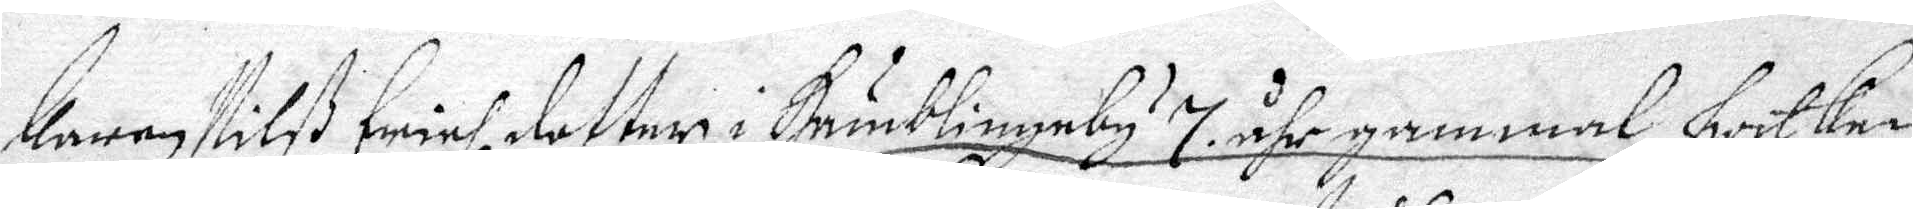Karen Nilß Erichz dotter i Humblingeby 7 åhr gammal, hwilken
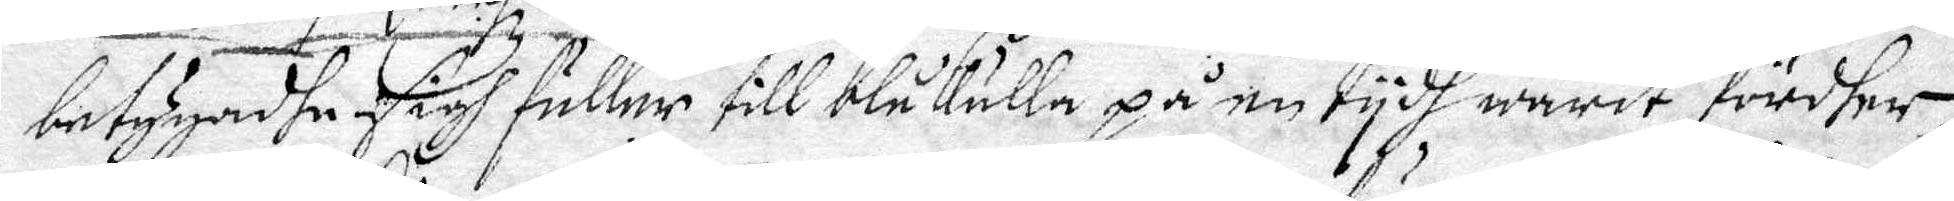betygadhe sigh fuller till blåkulla på en tydh warit fördher
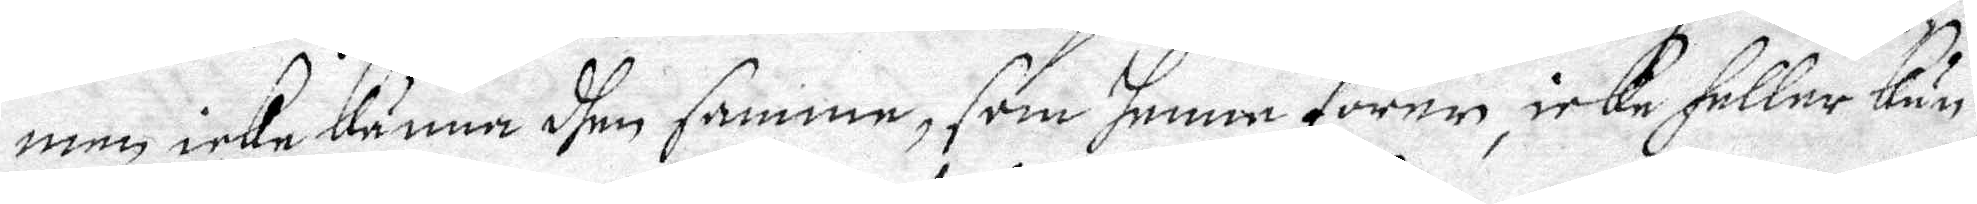men icke känna dhen samme, som henne förer, icke heller kun¬
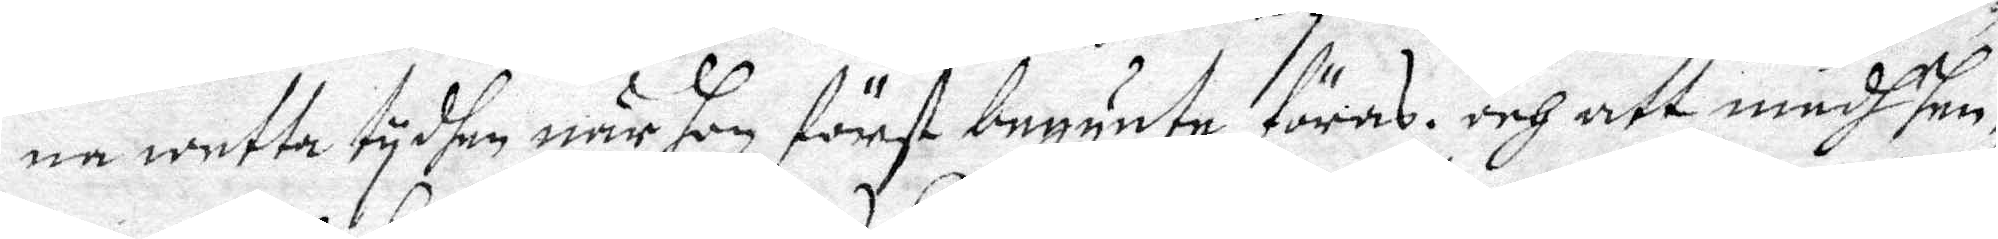na wetta tydhen när hon först begynte föras. och att medh hen¬
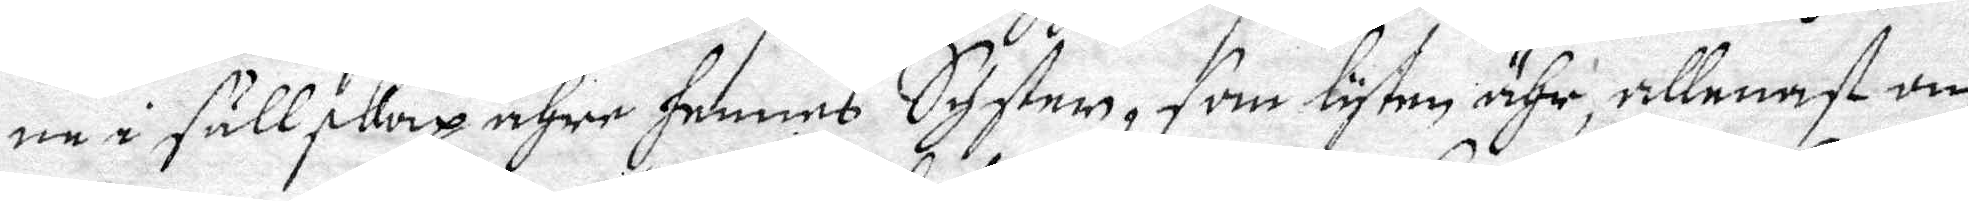ne i sällskap ähre hennes Syster, som lyten ähr, allenast om
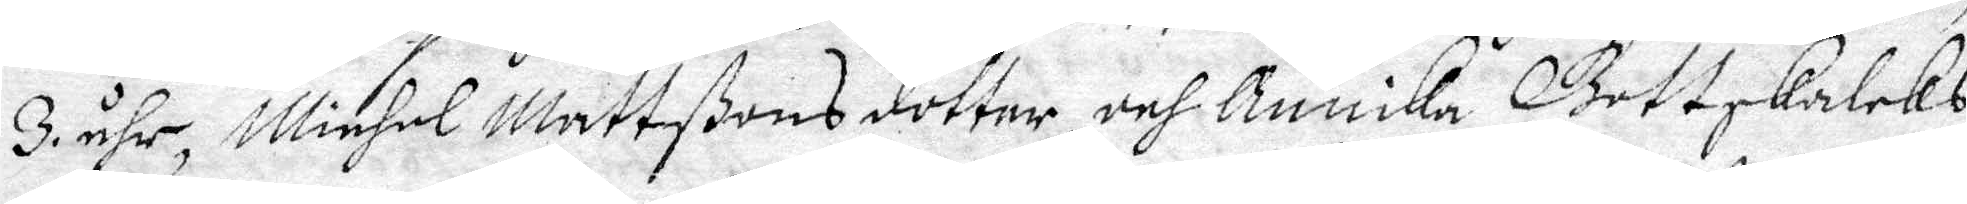3 åhr, Michel Mattßons dotter och Annika Gottskalcks:
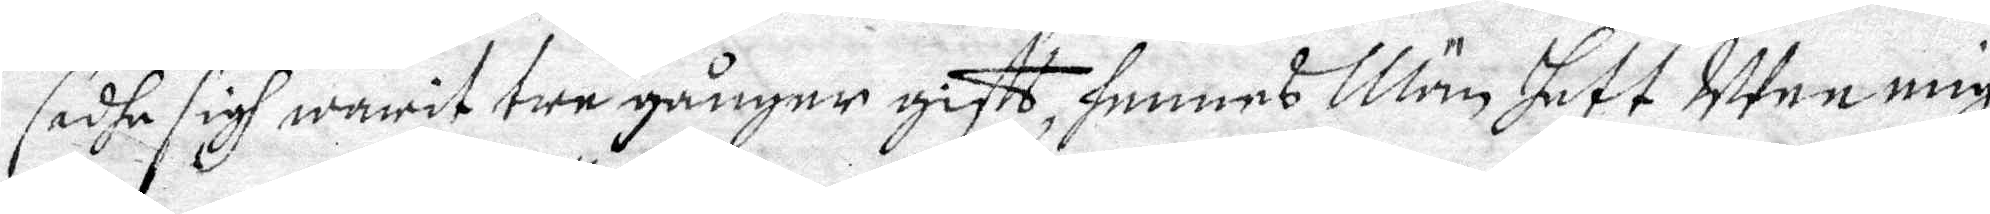sadhe sigh warit tre gånger gifft, hennes Män hett Uten mig,
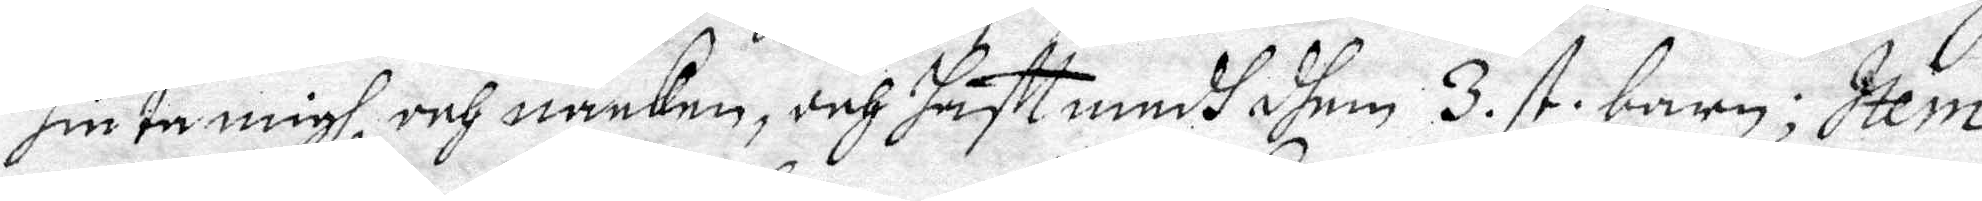hinta migh, och näcken, och hafft medh dhem 3. st. barn; Item
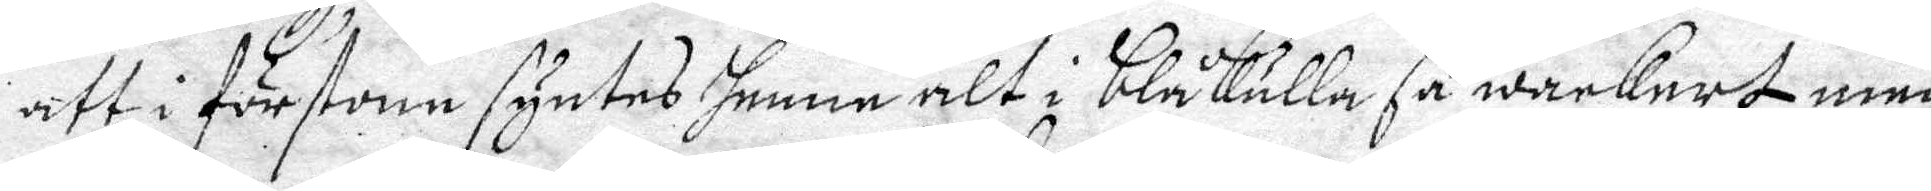att i förstone syntes henne alt i blåkulla så wackert men
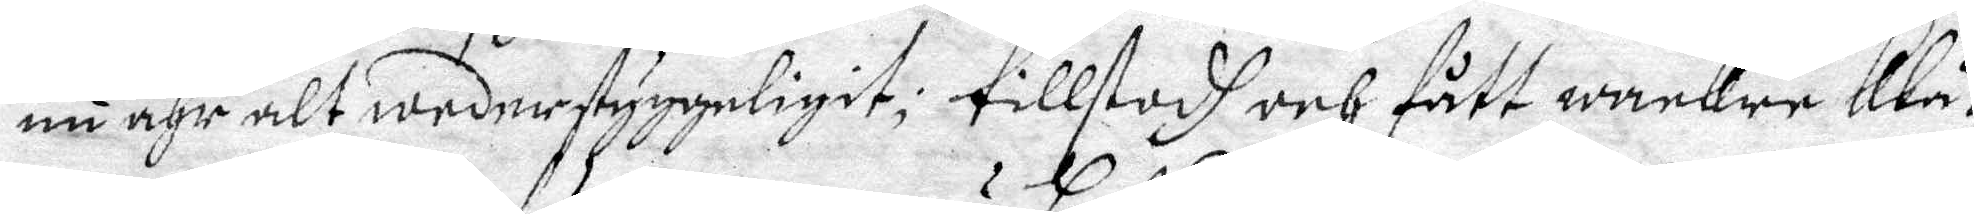nu ähr alt wederstyggeligit; tillstodh och fått wackre klä¬
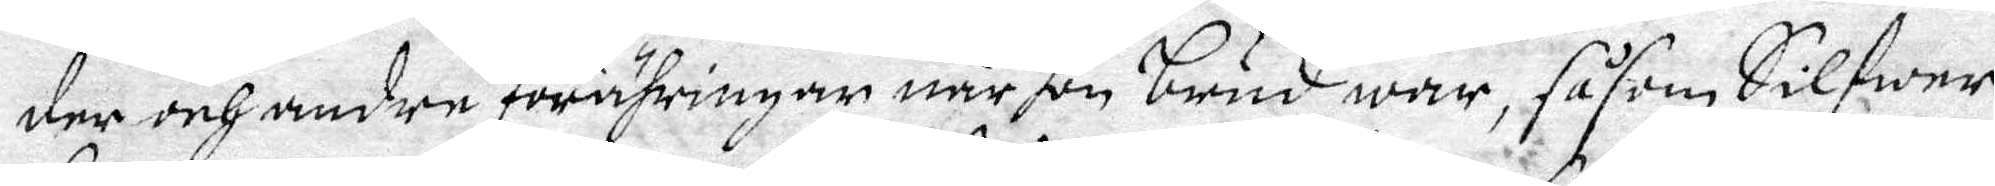der och andre förähringar när hon brud war, såsom Silfwer¬
